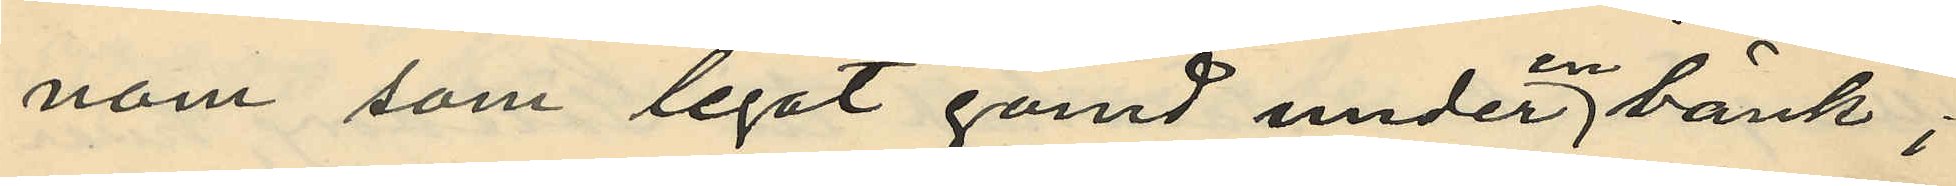nom som legat gömd under en bänk;
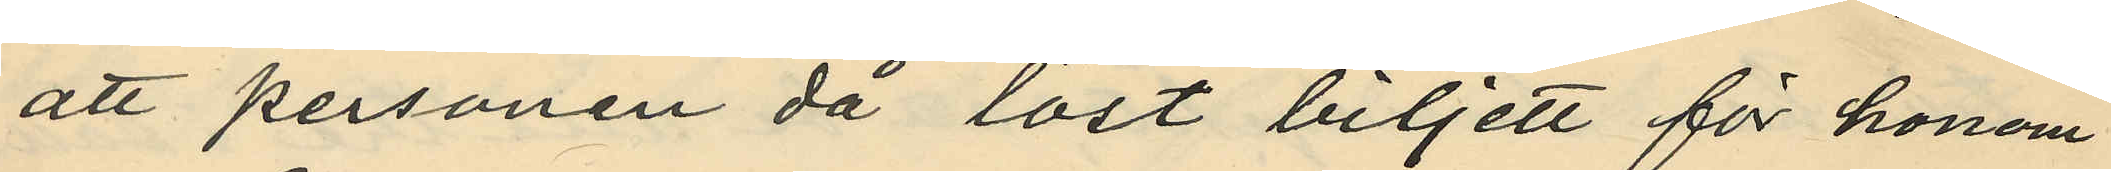att personen då löst biljett för honom
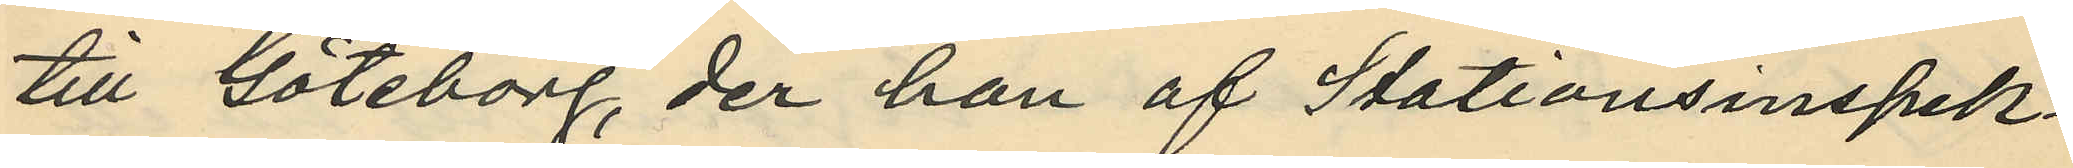till Göteborg, der han af Stationsinspek¬
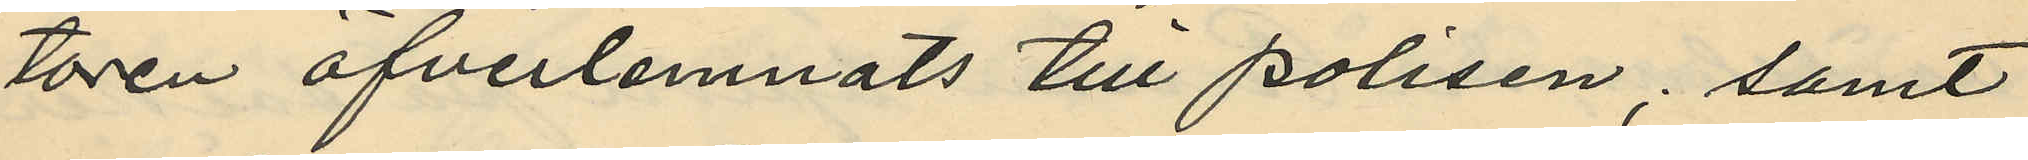tören öfverlemnats till polisen; samt
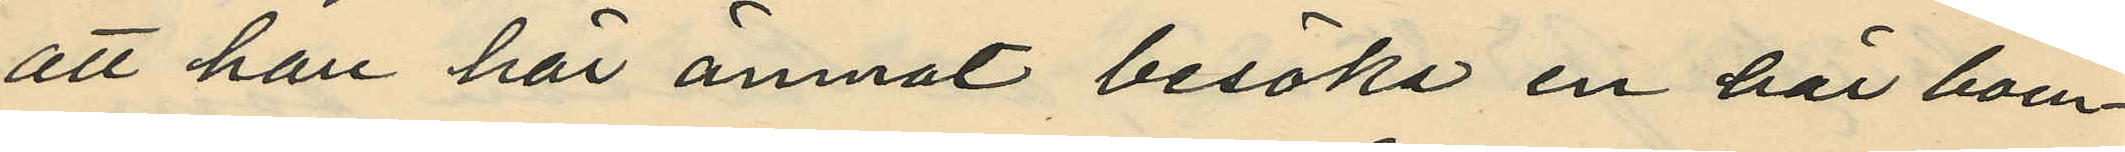att han här ämnat besöka en här boen¬
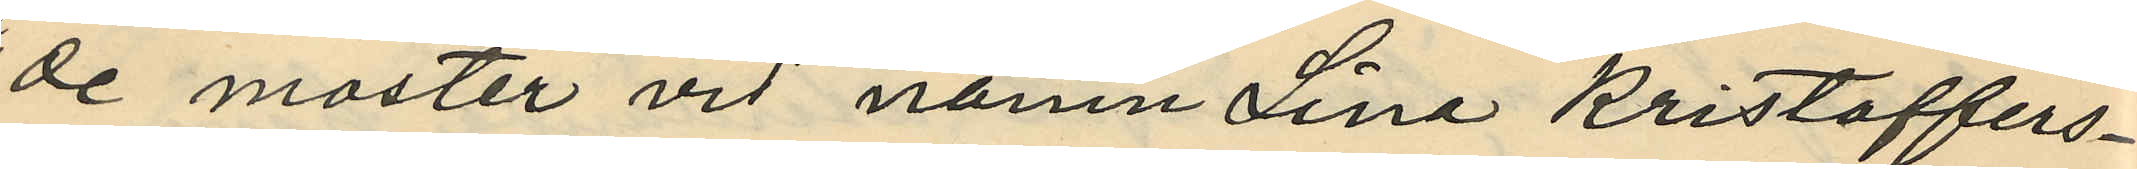de moster vid namn Lina Kristoffers¬
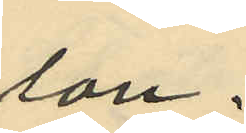son.
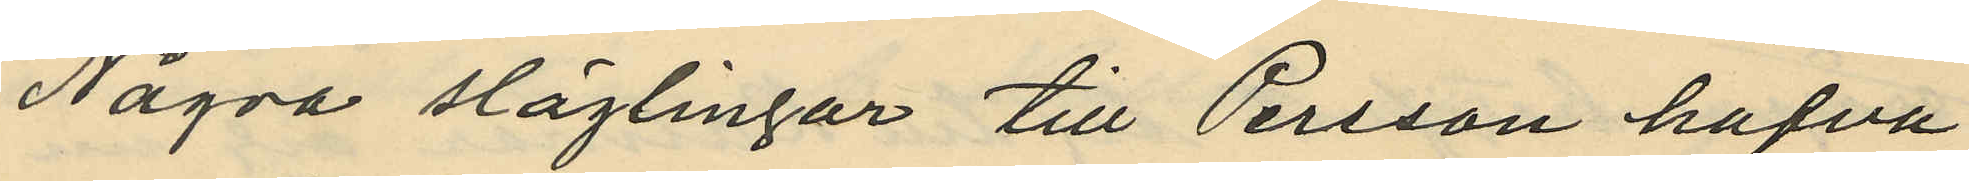Några slägtingar till Persson hafva
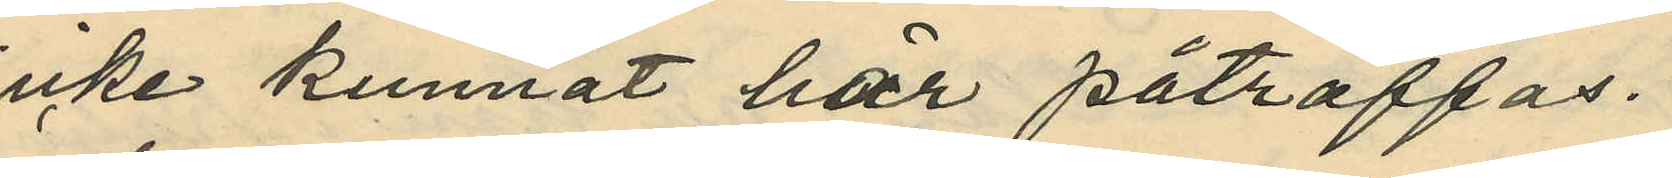icke kunnat här påträffas.
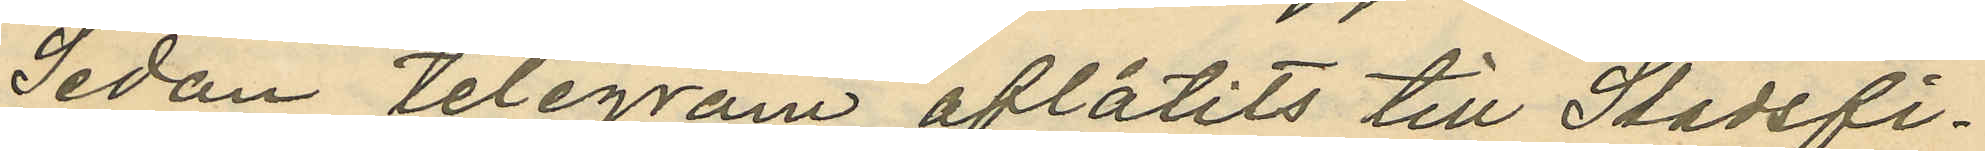Sedan telegram aflåtits till Stadsfi¬
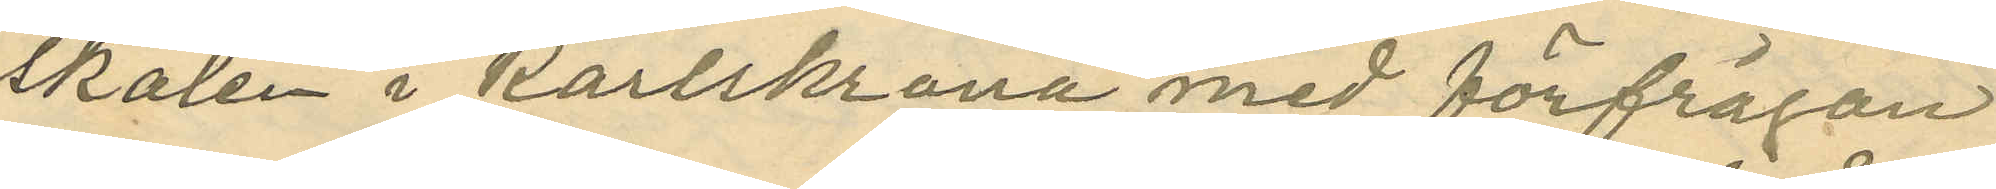skalen i Karlskrona med förfrågan
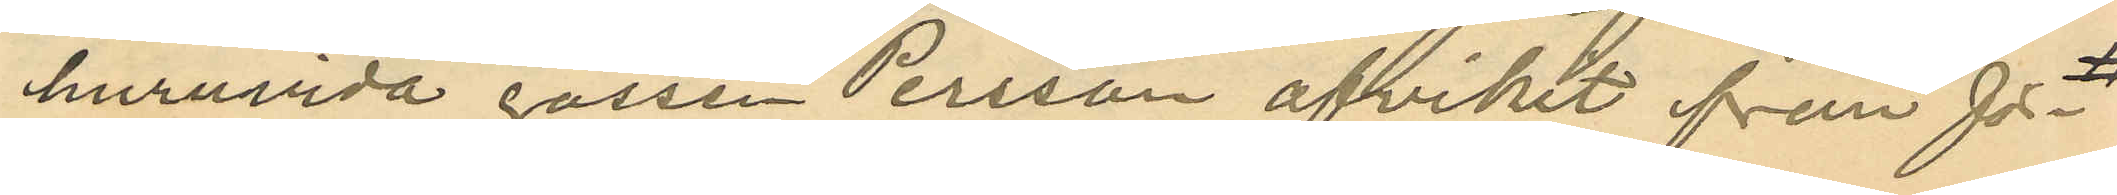huruvida gossen Persson afvikit från för¬
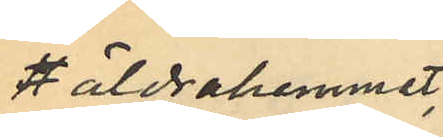äldrahemmet
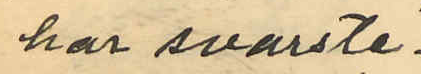har svarste¬
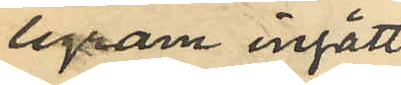legram ingått
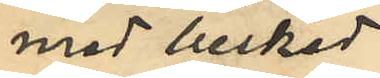med beskad
